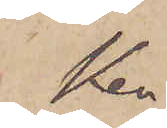Ken¬
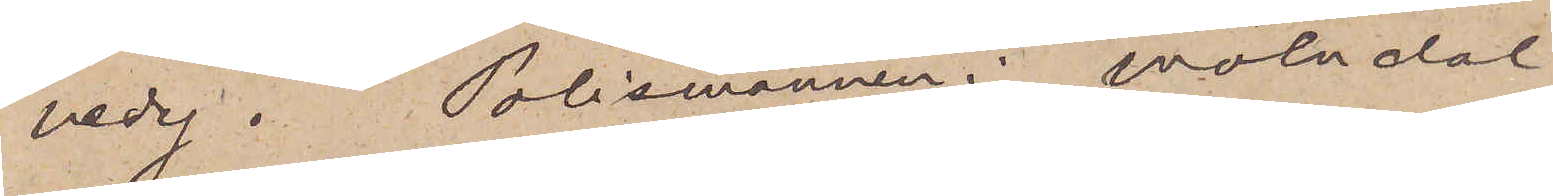nedy. Polismännen i Mölndal
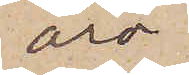äro
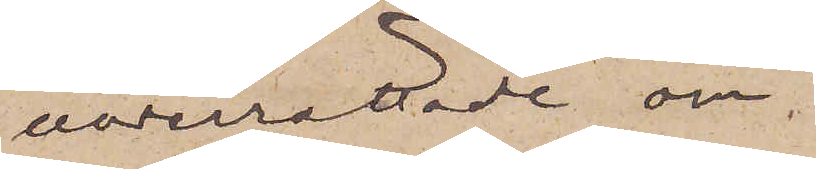underrättade om
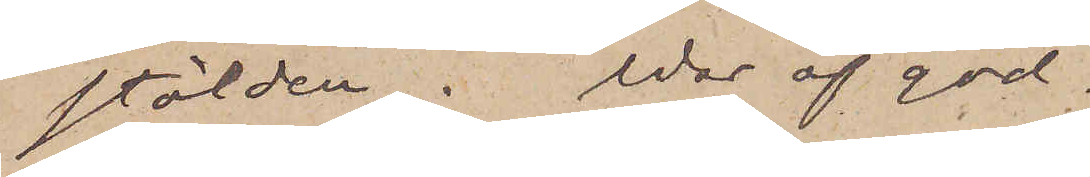stölden. War af god¬
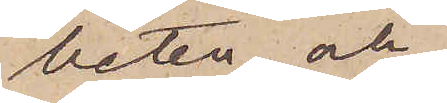heten och
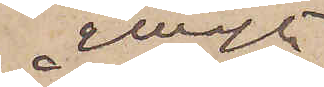snarast
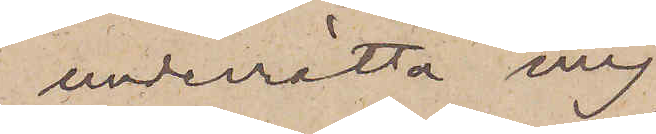underrätta mig,
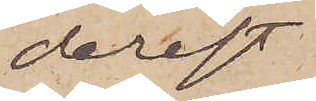derest
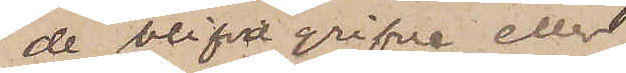de blifa gripne eller
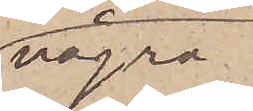några
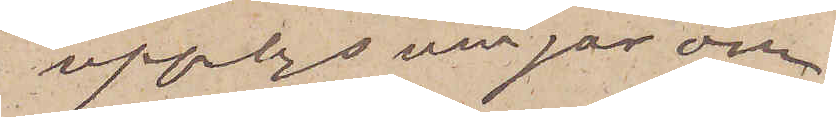upplysningar om
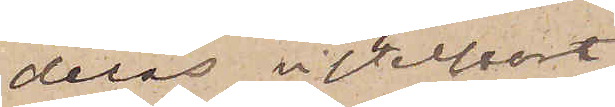deras vistelseort
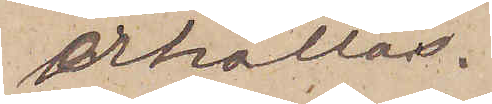erhållas.
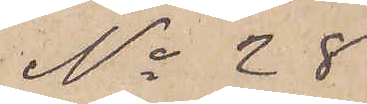No 28
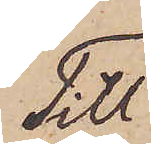Till
